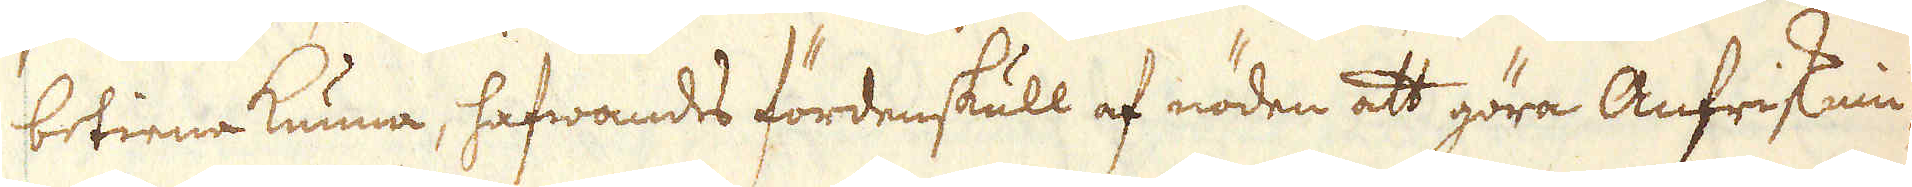betiena kunna, hafwandes fördenskull af nöden att göra Anfrisknin-
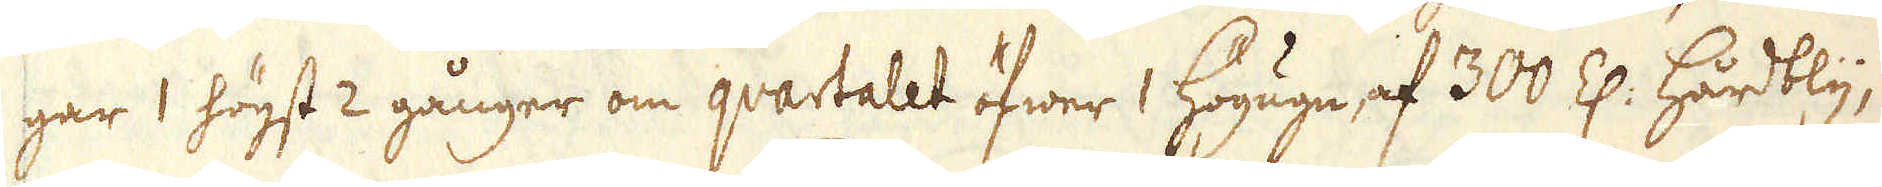gar 1 högst 2 gånger om quartalet öfwer 1 Högugn, af 300 Z: hårdbly,
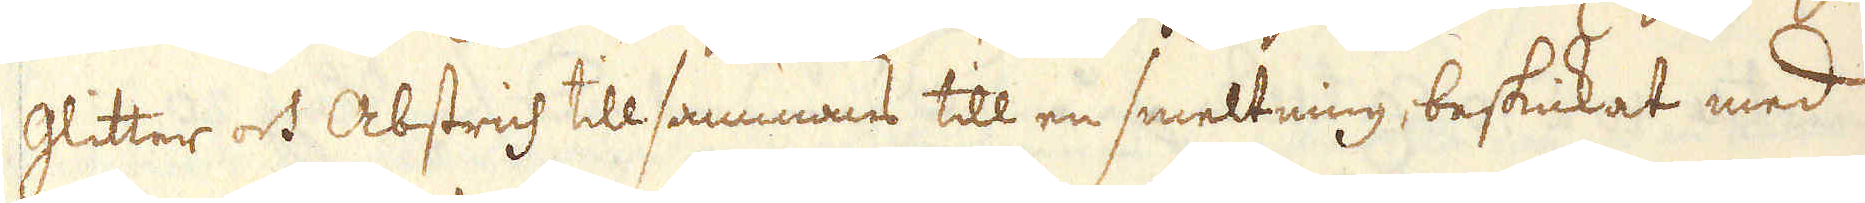Glitter och Abstrich tillsammans till en smeltning, beskickat med
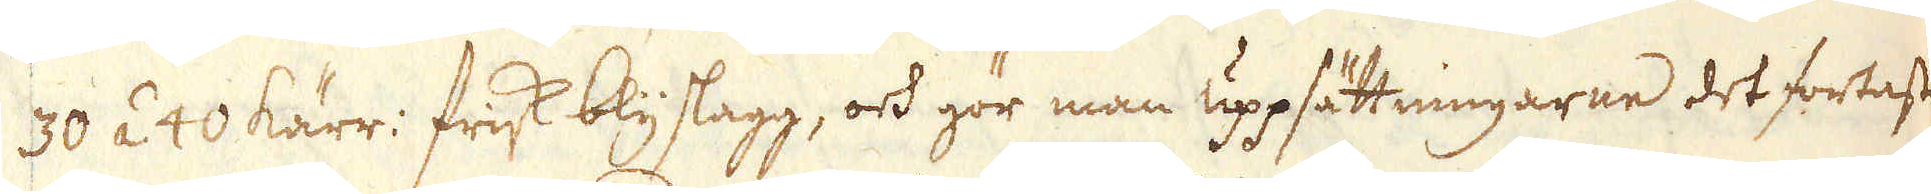30 á 40 kärr: frisk blyslagg, och gör man uppsättningarne det fortaste
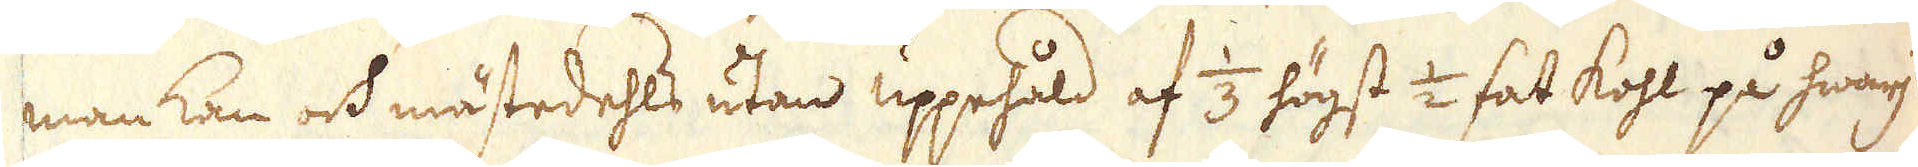man kan och mästedehls utan uppehåld af 1/3 högst 1/2 fat kohl på hwarje
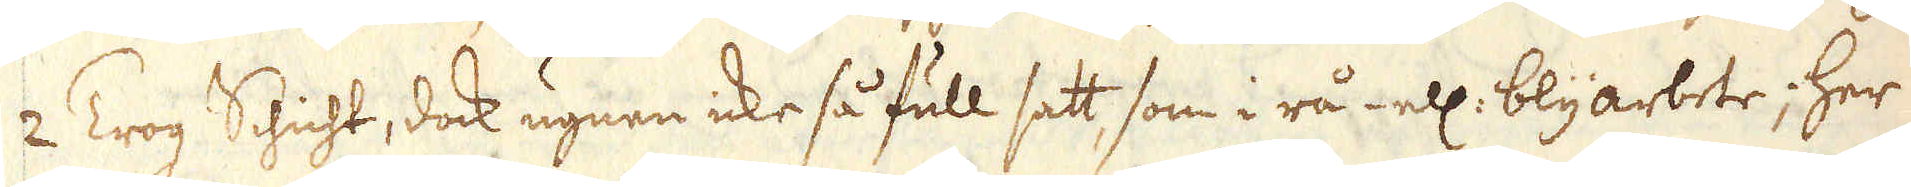2 Trog Schicht, dock ugnen icke så full satt som i rå- ell: blyarbete; her
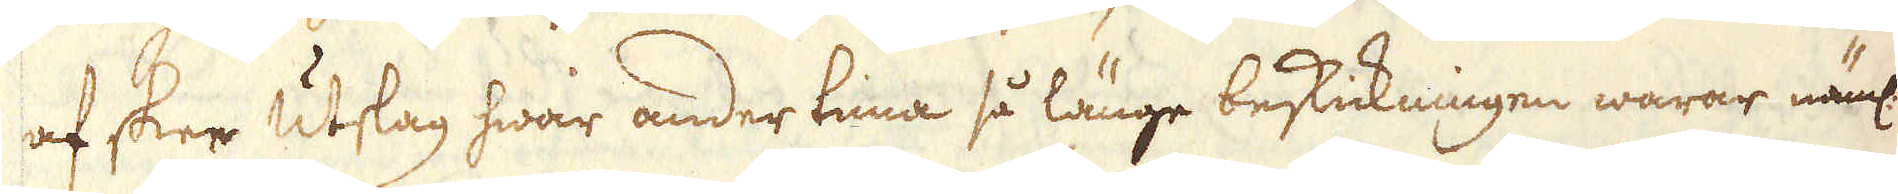af sker utslag hwar ander tima så länge beskickningen warar näml:
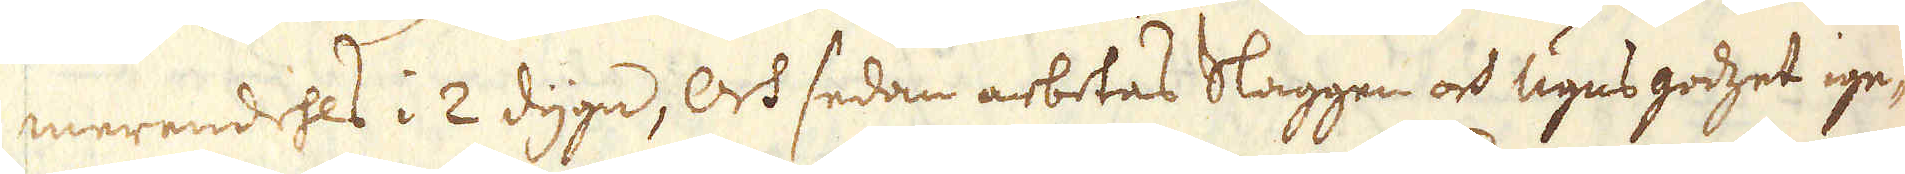merendehls i 2 dygn, Och sedan arbetas Slaggen och ugns godzet ige-
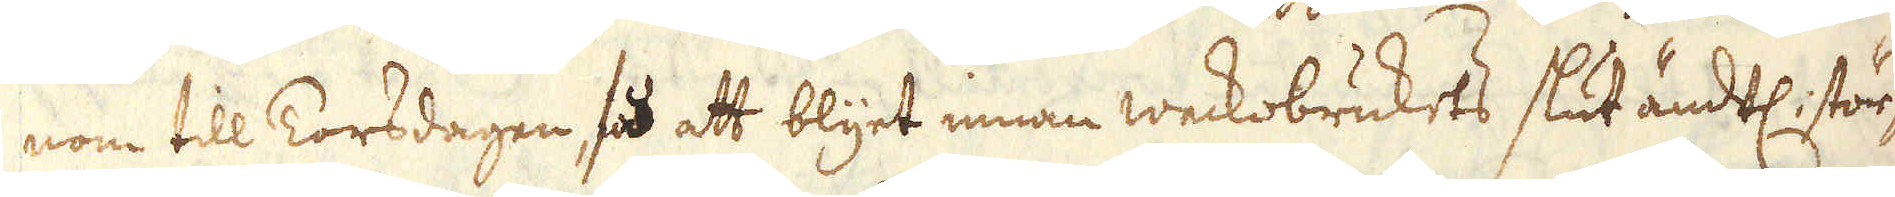nom till Torsdagen, så att att blyet innan weckobrukets slut ändtl: stör-
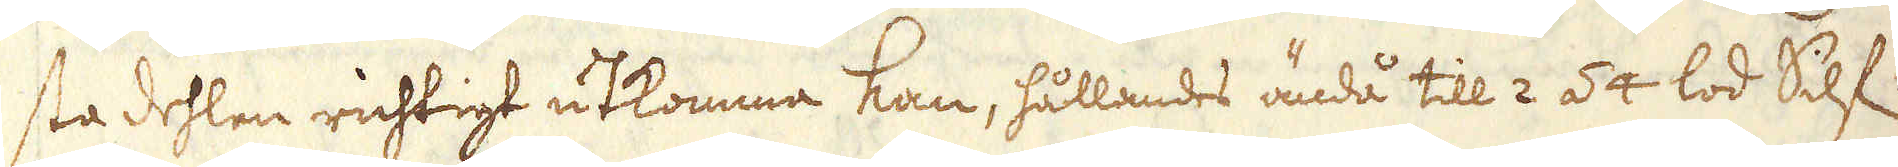sta dehlen richtigt utkomma kan, hållandes ändå till 2 á 4 lod Silf:
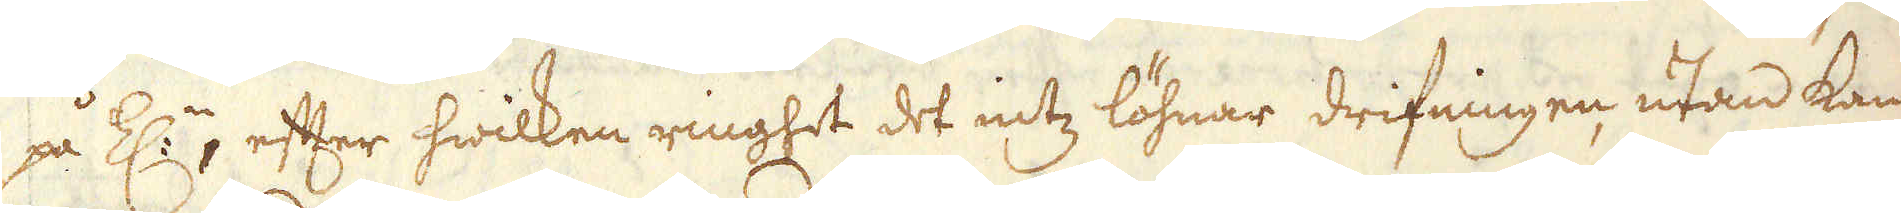på Z:n, efter hwilken ringhet det intz löhnar drifningen utan kan
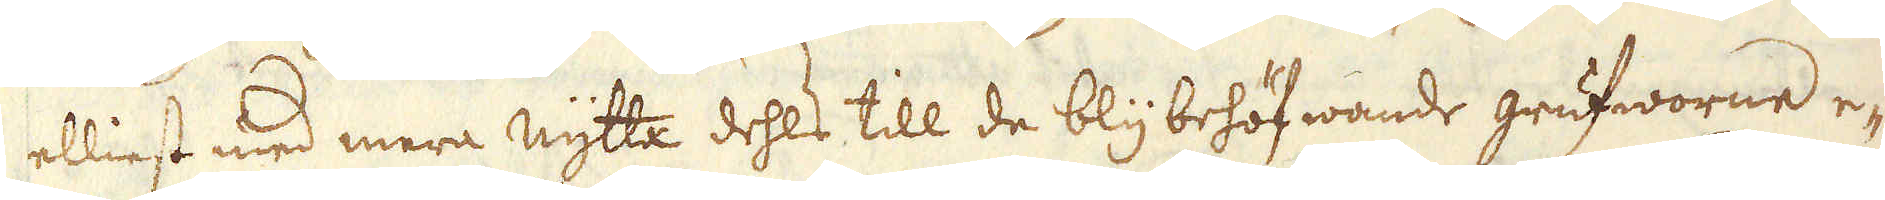elliest med mera nytta dehls till de bly behöfwande grufworne e-
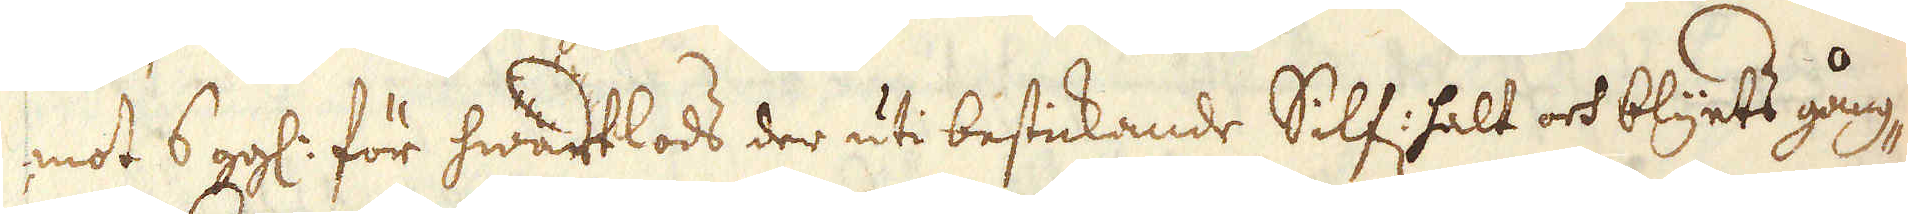mot 6 ggl: för hwart lods der uti bestickande Silf: halt och blyets gång-
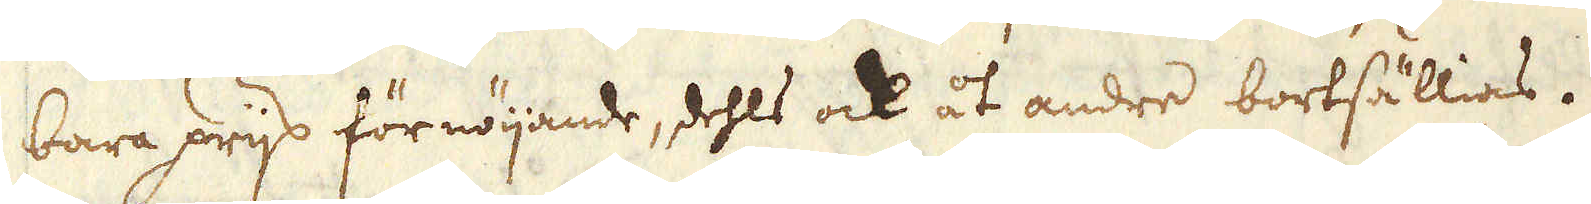bara prijs förnöijande, dehls ock åt andre bortsällias.
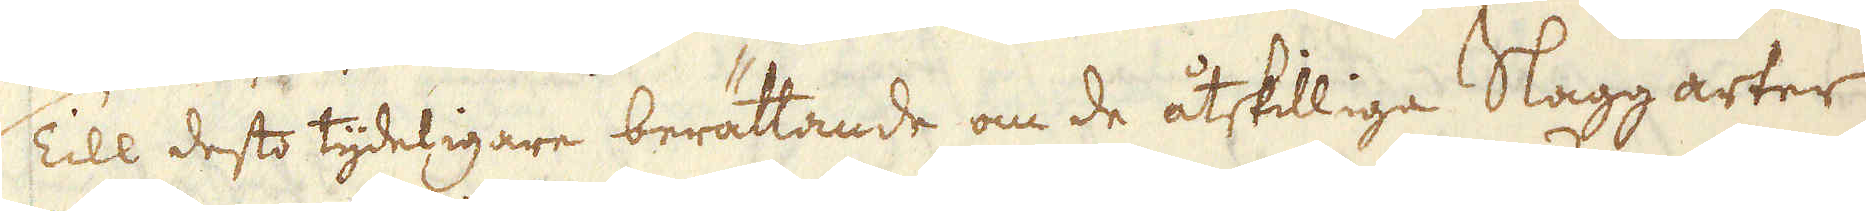Till desto tydeligare berättande om de åtskilliga Slagg arter
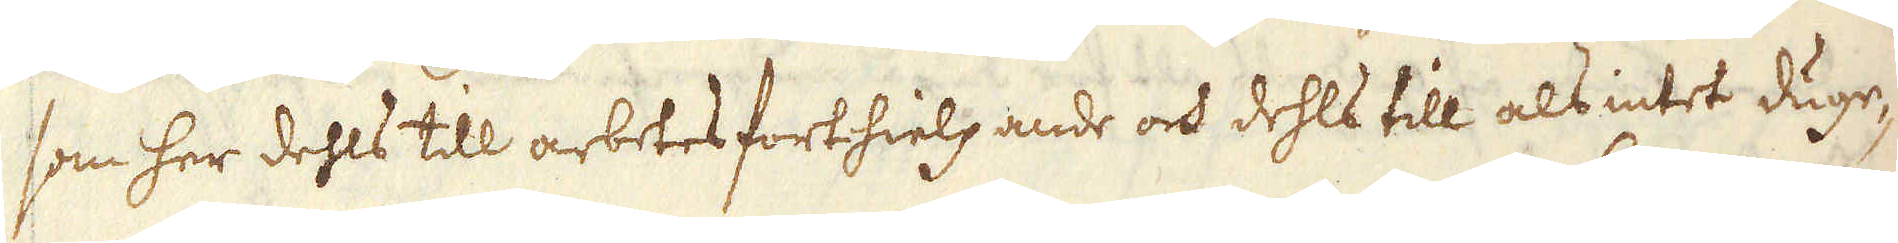som her dehls till arbetes forthielpande och dehls till als intet duge-
